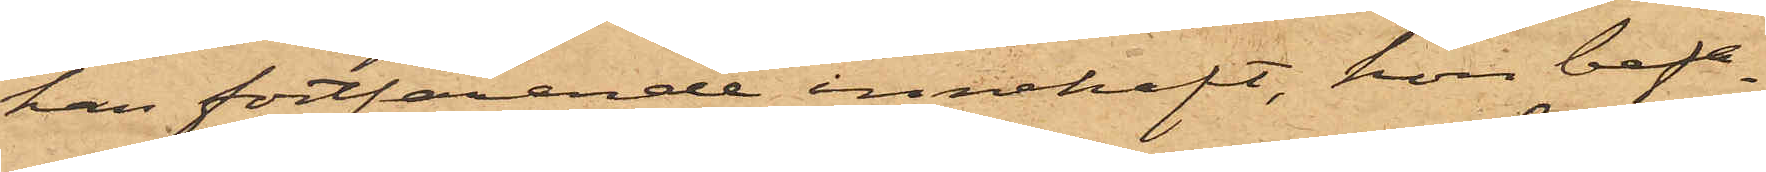han fortfarande innehaft, hon befa¬
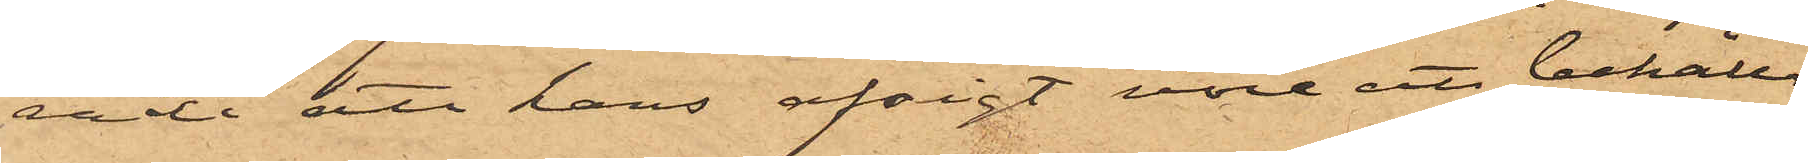rade att hans afsigt vore ett behålla
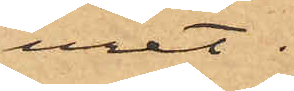uret.
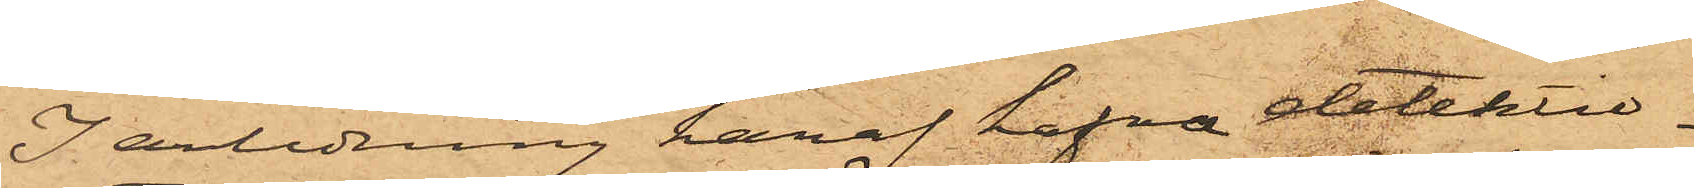I anledning häraf hafva detektiv¬
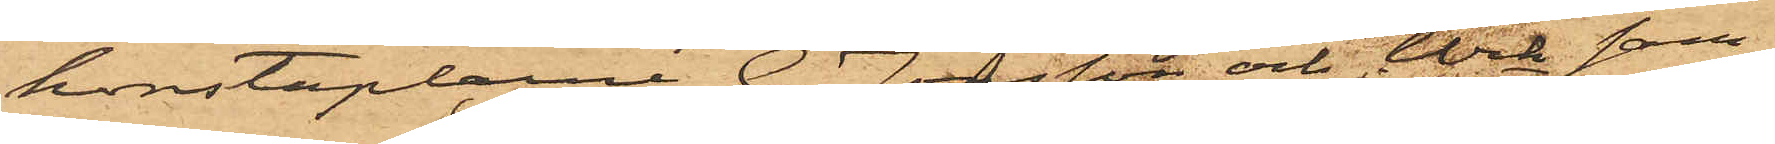konstaplarne G. Jönsson och Wik sam¬
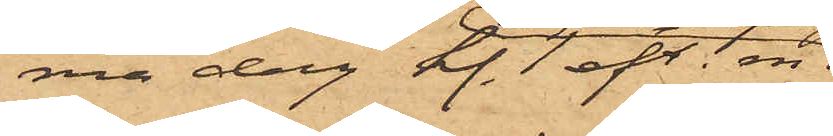ma dag Kl. 1 eft. m.
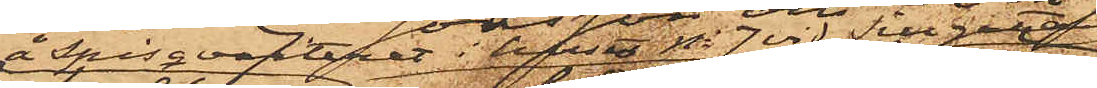å Spisqvarteret i huset No 7 vid Sillgatan
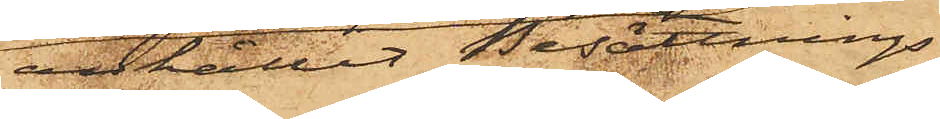anhållit Besättnings¬
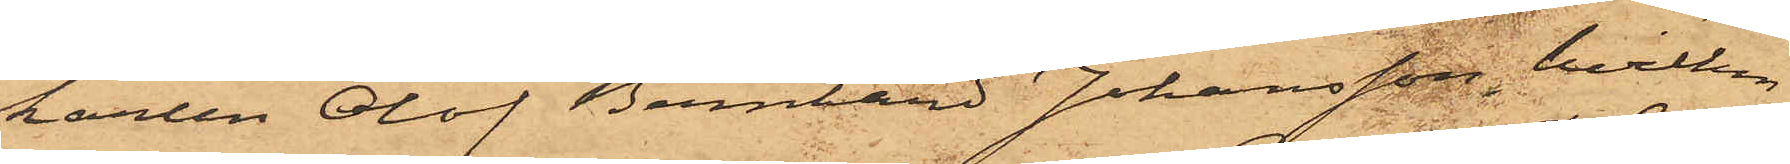karlen Olof Bernhard Johansson, hvilken
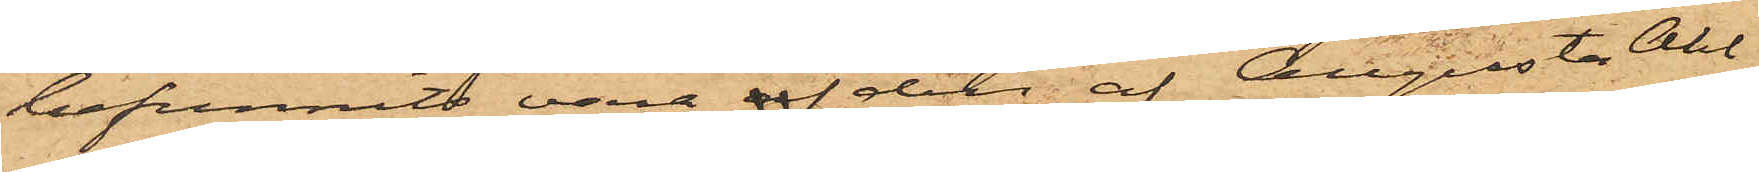befunnits vara af den af Augusta Ahl¬
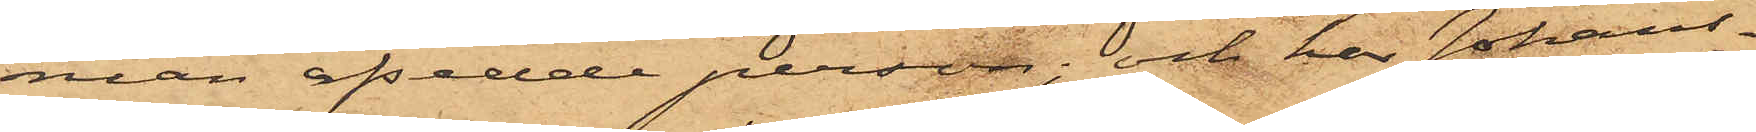man afsedde person; och har Johans¬
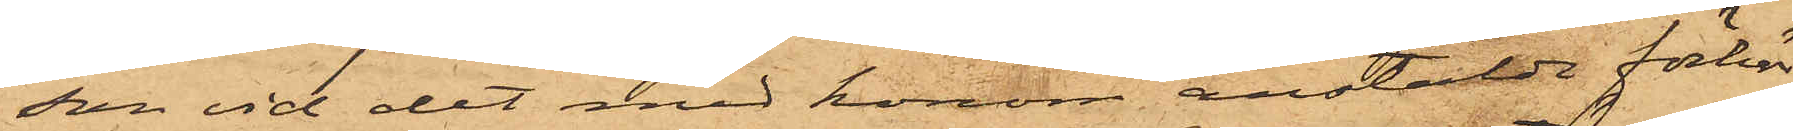son vid det med honom anstälde förhör
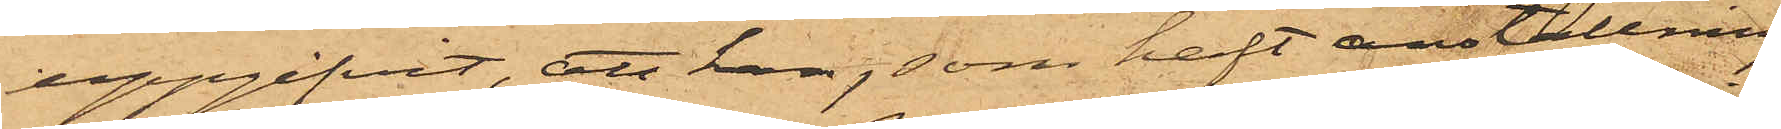uppgifvit, att han, som haft anställning
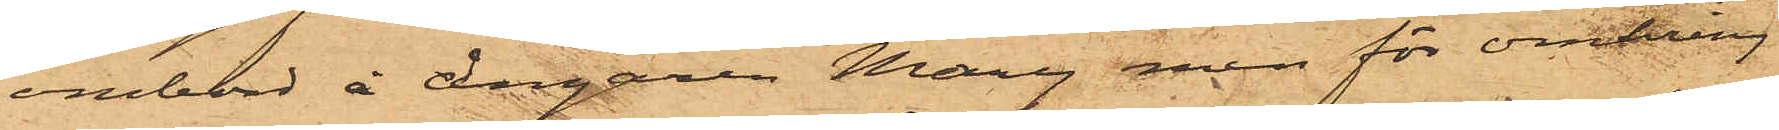ombord å Ångaren Mary men för omkring
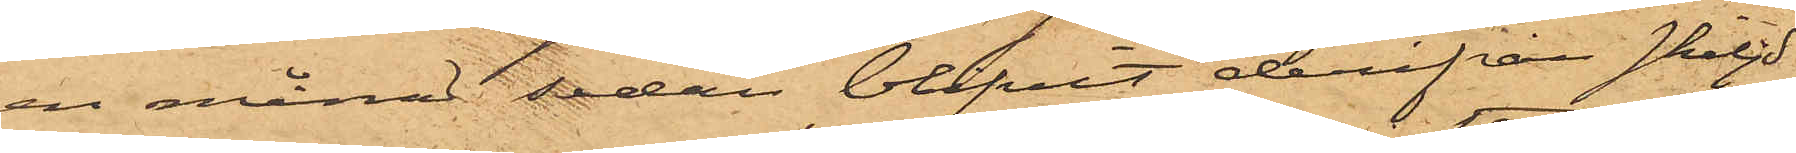en månad sedan blifvit derifrån skiljd
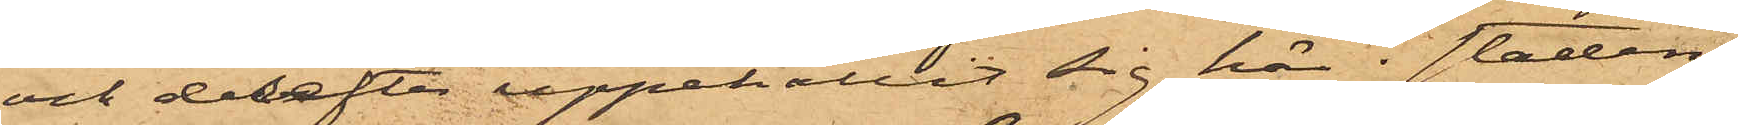och derefter uppehållit sig här i staden,
